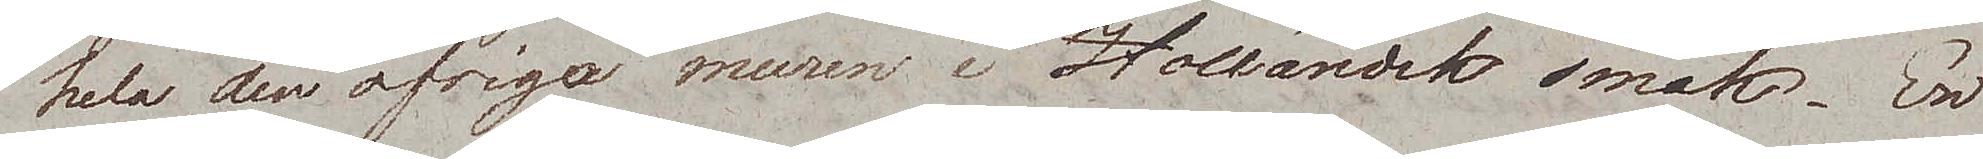hela den öfriga muren i Holländsk smak. En
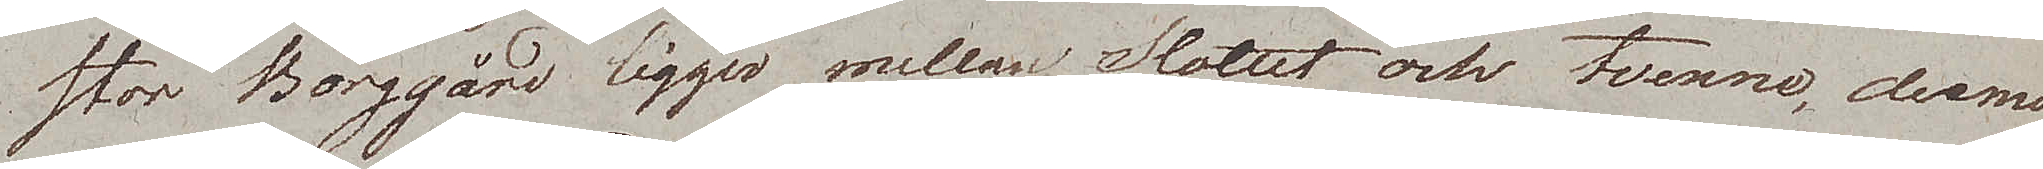stor Borggård ligger mellan Slottet och tvenne, dermodt
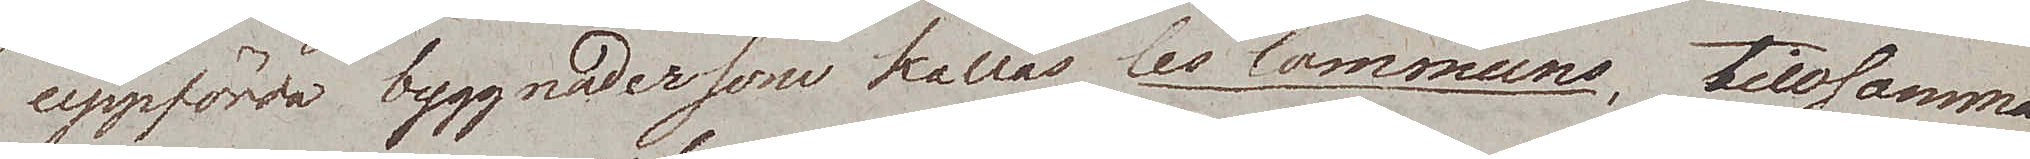uppförda byggnader som kallas Les Communs, tillsammans
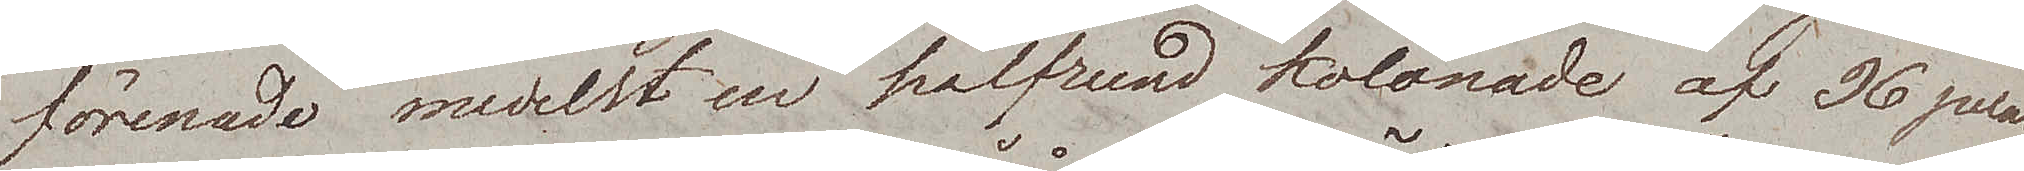förenade medelst en halfrund kolonade af 36 pelare.
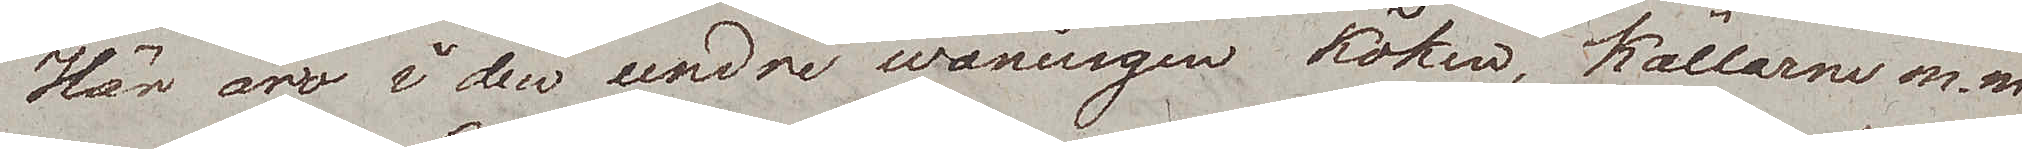Här äro i den undre wåningen köken, källarne m.m,
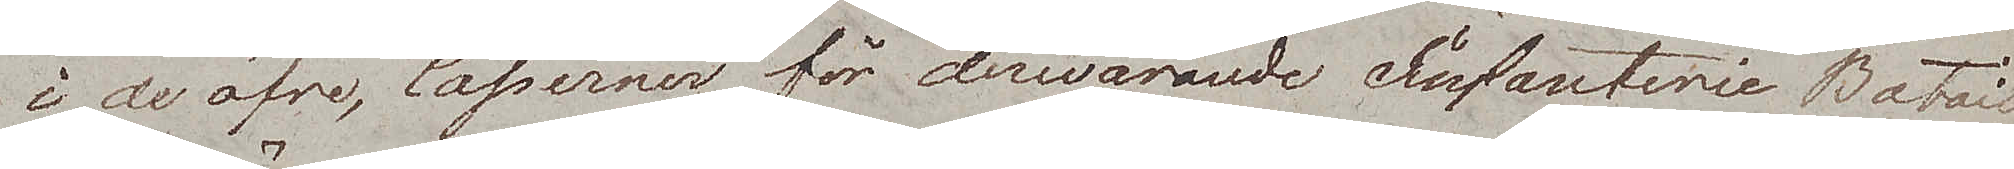i de öfre, Caserner för derwarande Infanterie Bataillon.
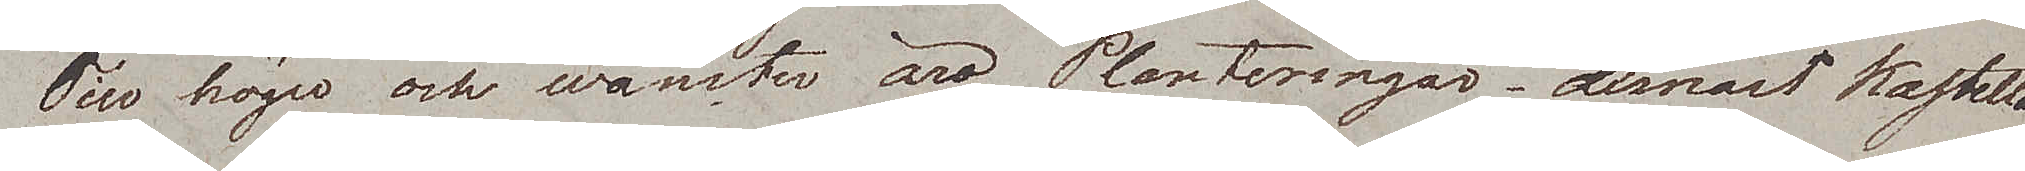Till höger och wänster äro Planteringar, dernäst Kastella¬
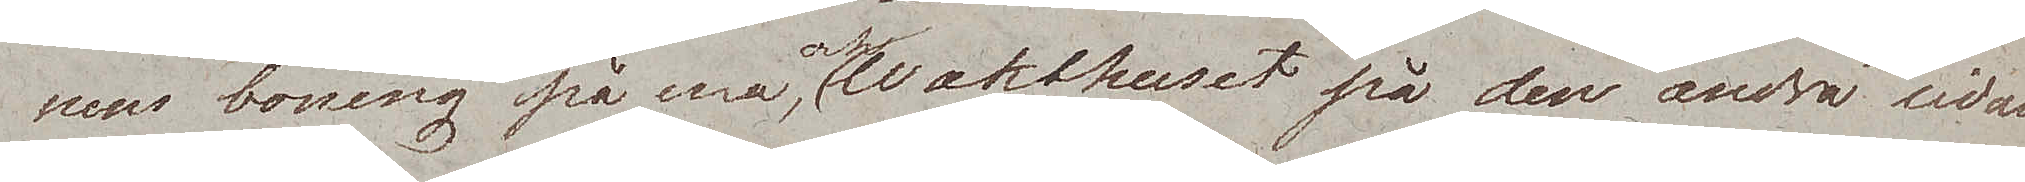nens boning på ena, och wakthuset på den andra sidan.
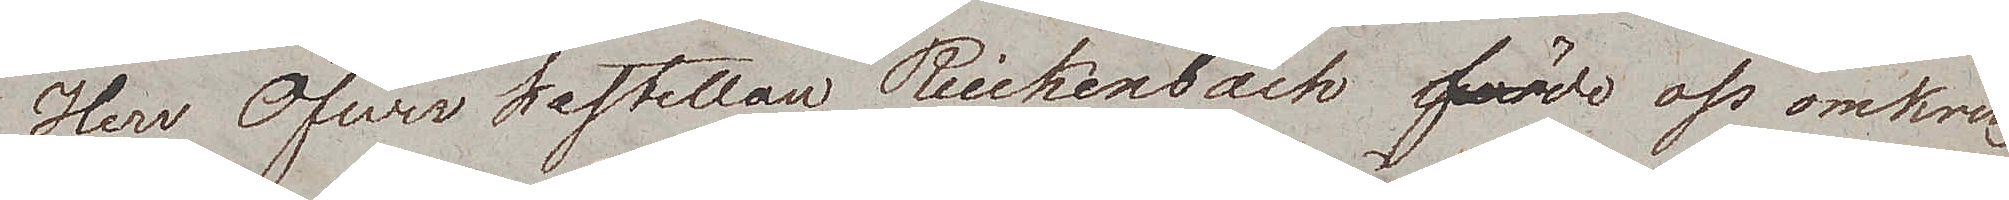Herr Öfwerkastellan Reickenbach förde oss omkring
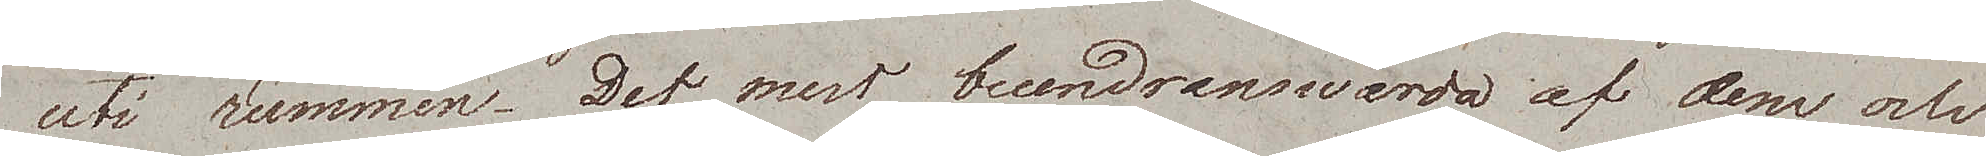uti rummen. Det mest beundranswärda af dem och
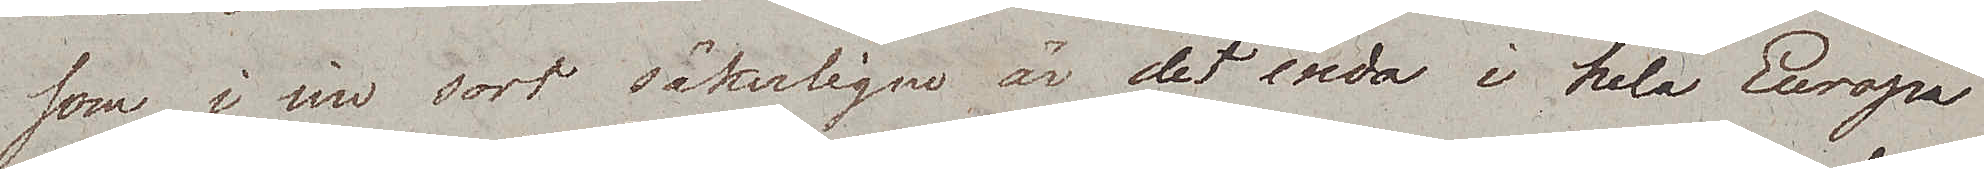som i sin sort säkerligen är det enda i hela Europa
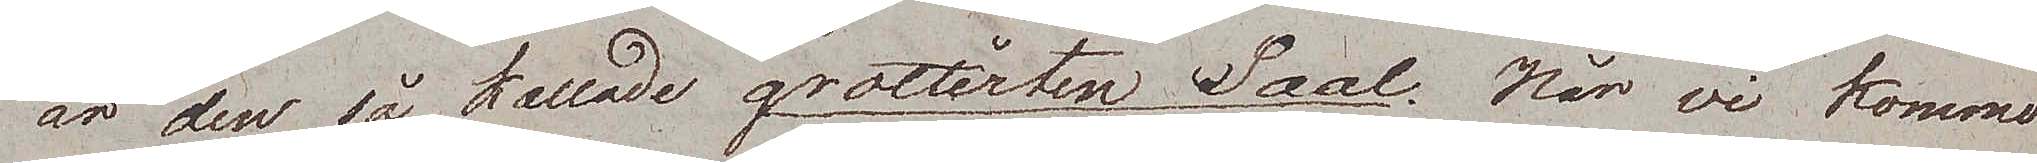är den så kallade grotterten Saal. När vi kommo
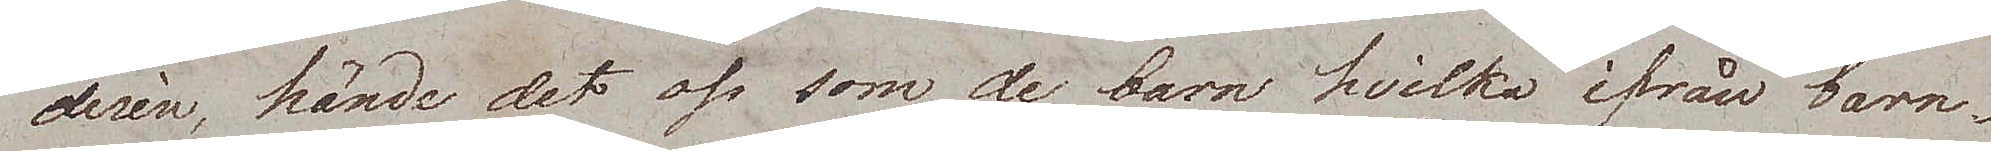derin, hände det oss som de barn hvilka ifrån barn¬
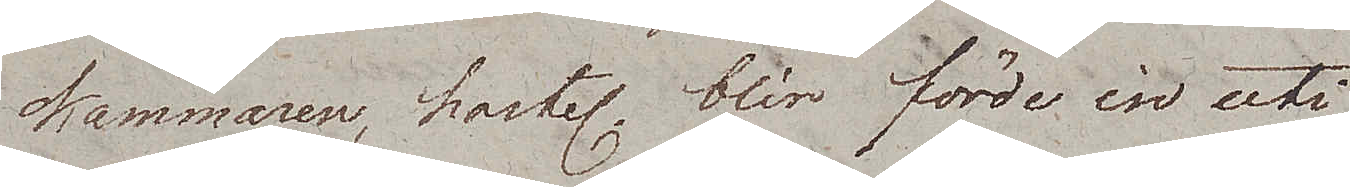kammaren, hastel. blir  förde in uti
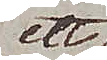ett
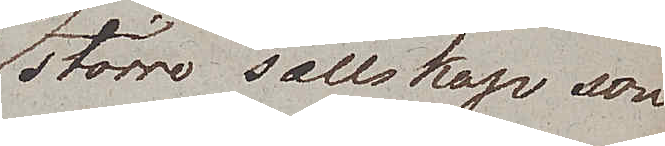större sällskap som
